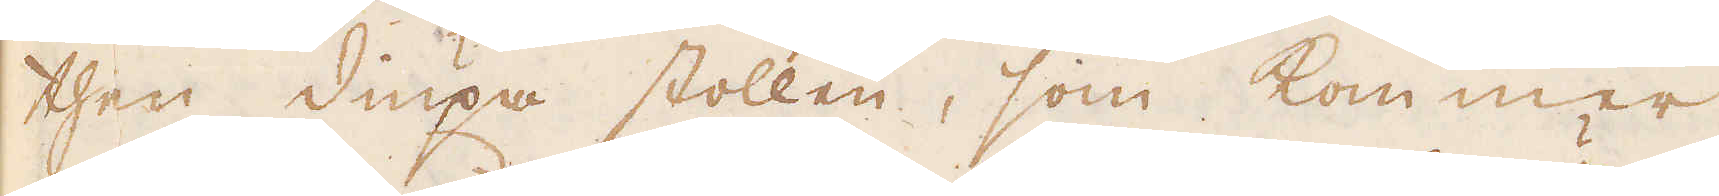then diupa stollen, som kommer
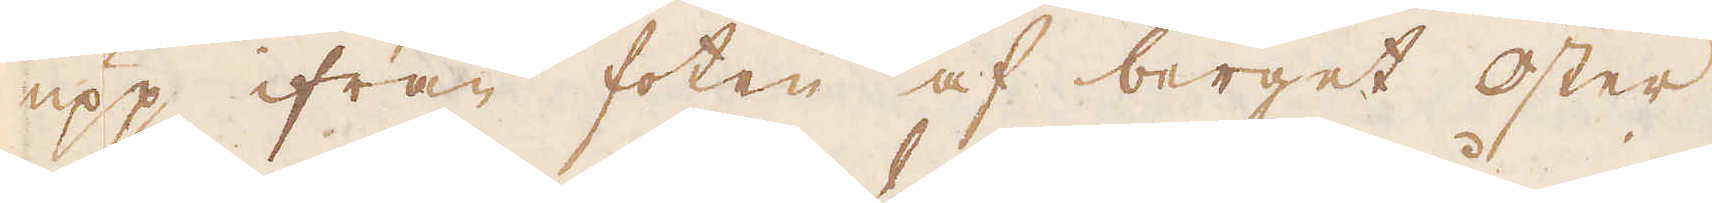upp ifrån foten af berget öster
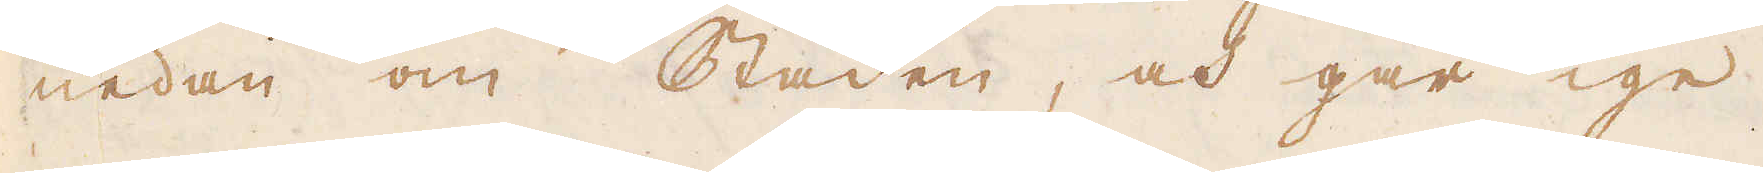nedan om Staden, och går ige-
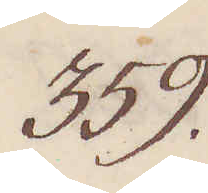359.
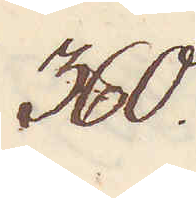360.
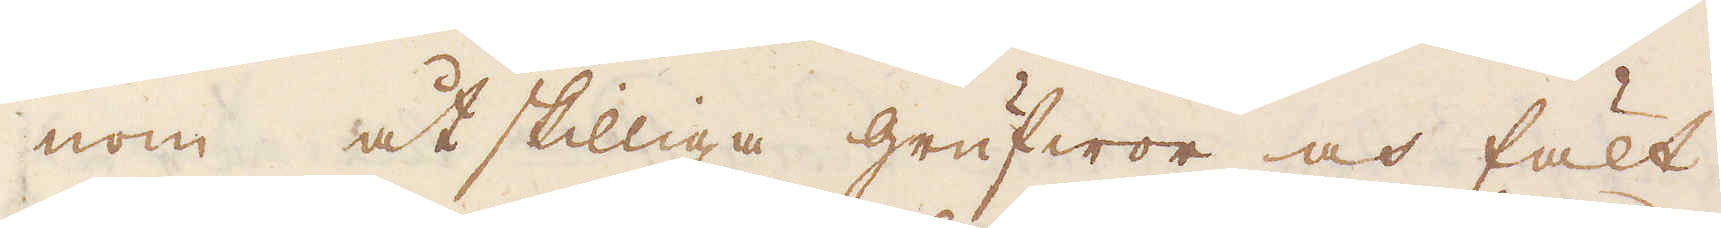nom åtskilliga grufwor och fält
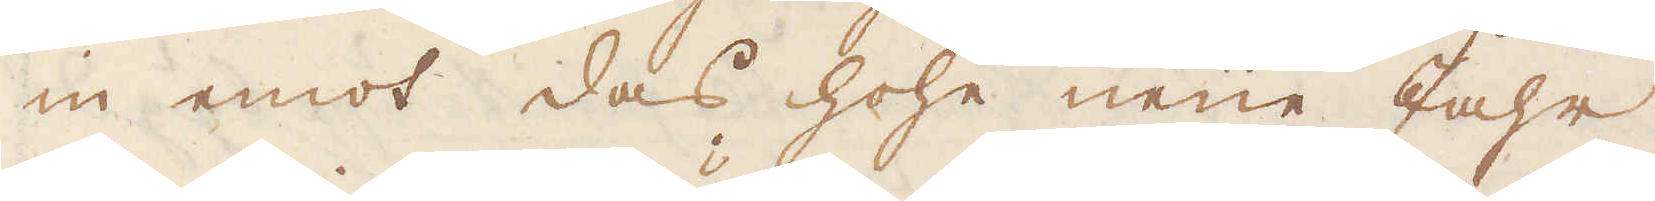in emot das hohe neue Jahr,
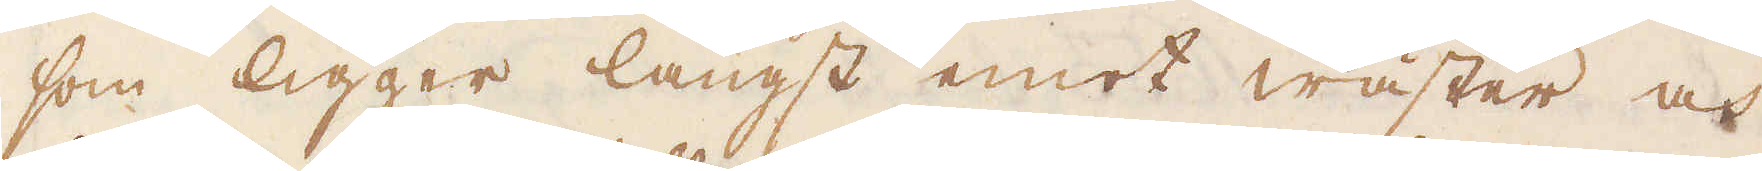som ligger längst emot wäster och
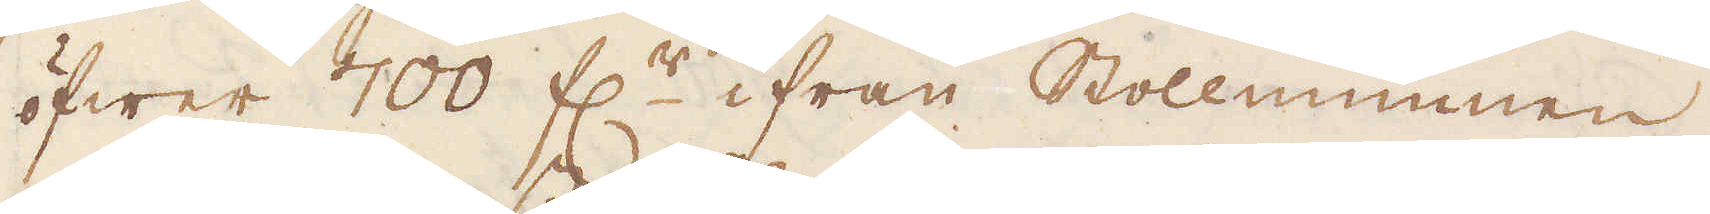öfwer 700 f:r ifrån Stollmunnen,
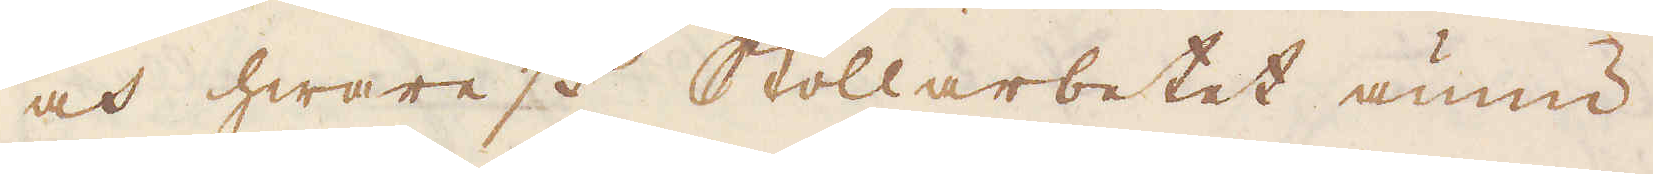och hwarest Stollarbetet ännu
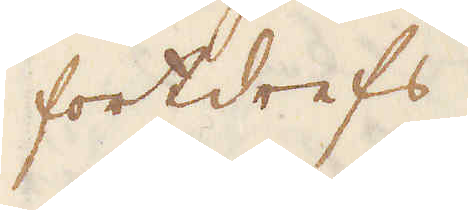fortdrefs.
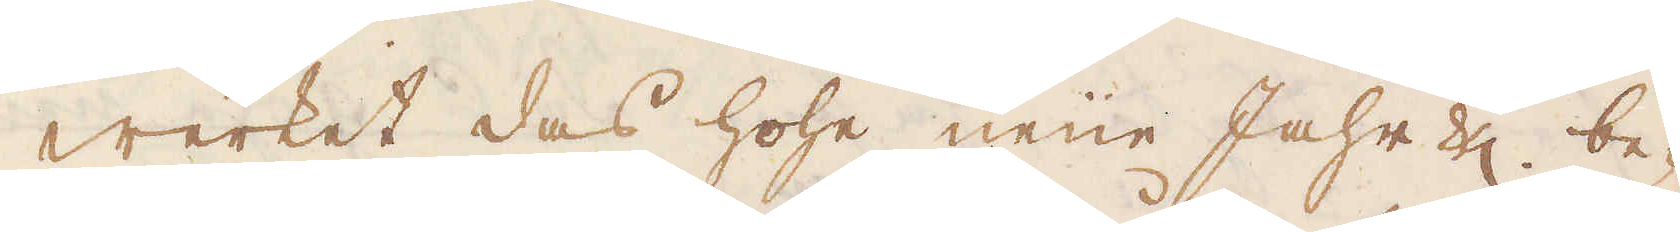Werket das hohe neue Jahr be-
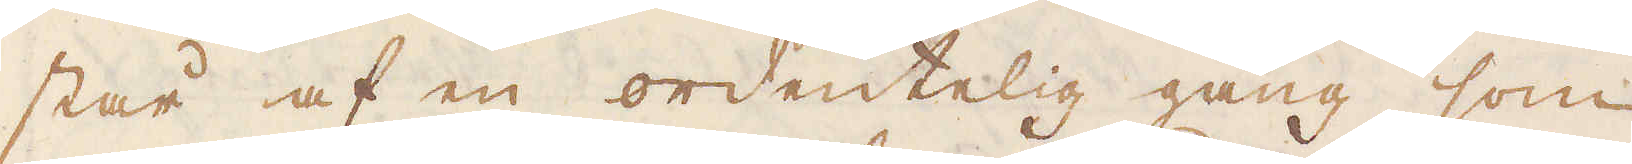står af en ordentelig gång, som
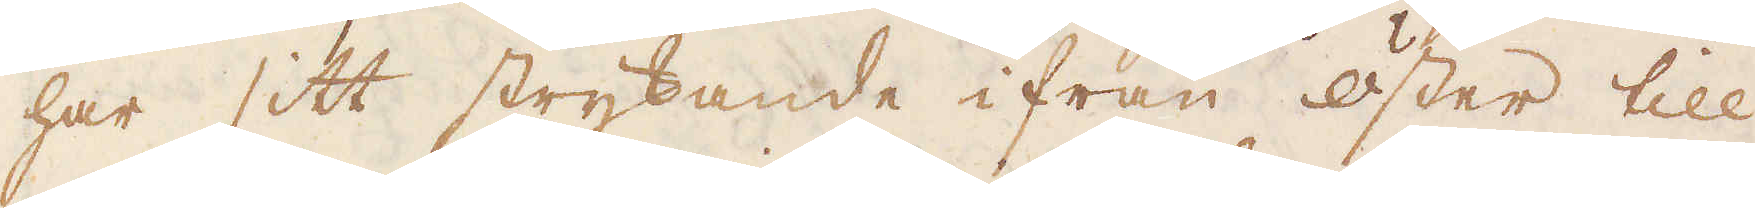har sitt strykande ifrån öster till
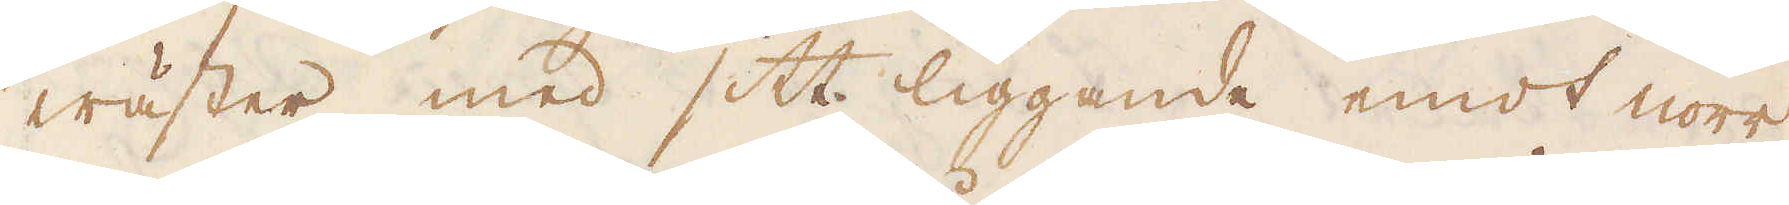wäster med sitt liggande emot norr,
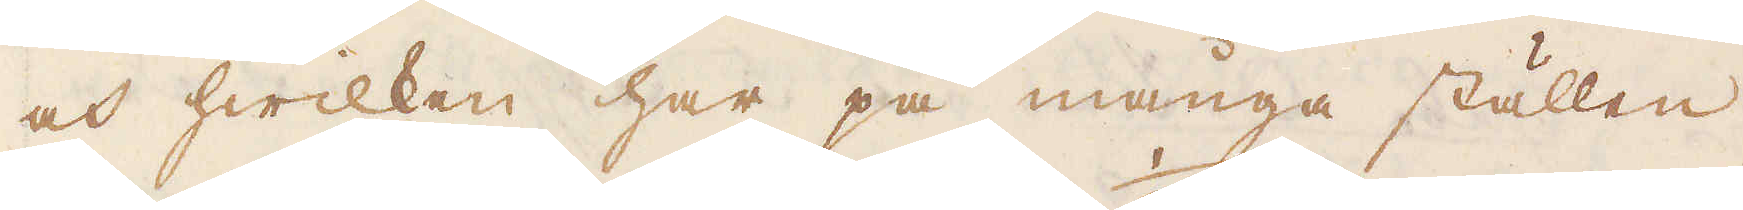och hwilken har på många ställen
